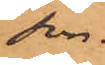son.
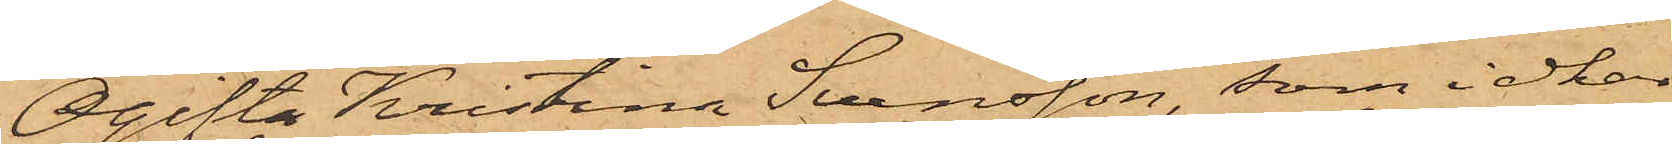Ogifta Kristina Svensson, som idkar
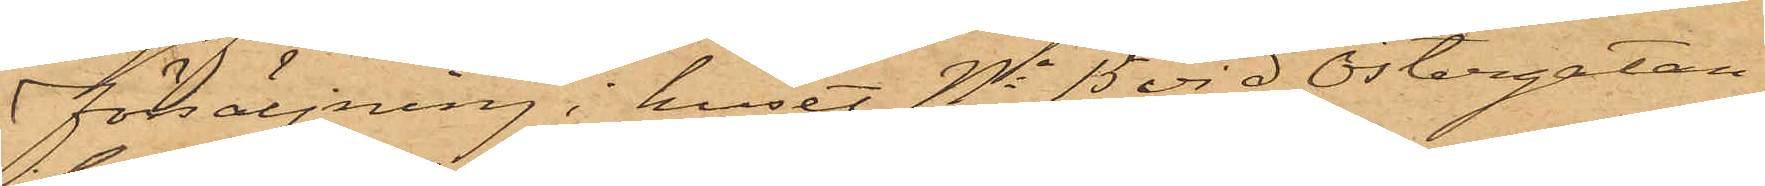försäljning i huset No 15 vid Östergatan,
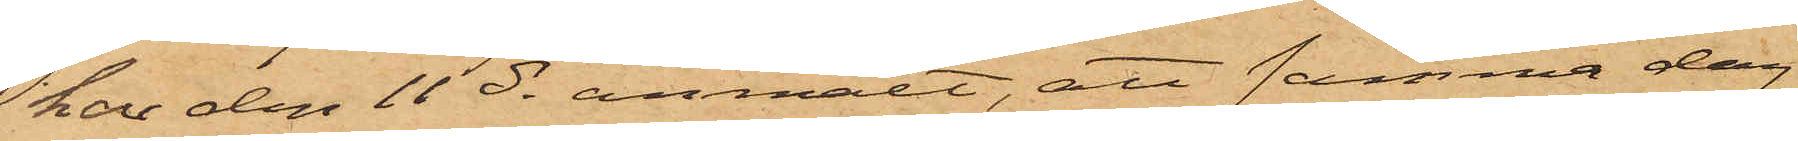har den 11 ds anmält, att samma dag
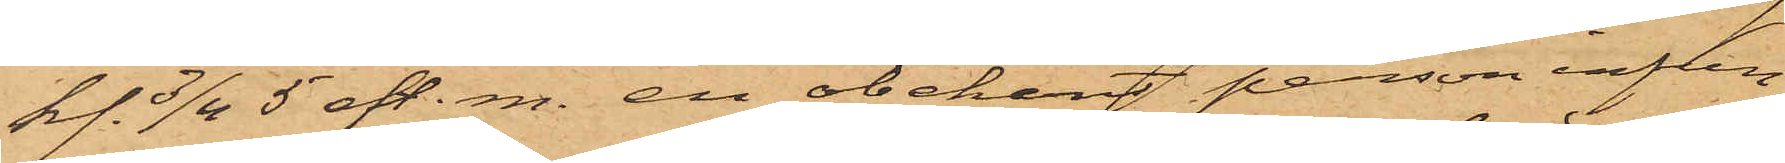kl. 3/4 5 eft. m. en obekant person infun¬
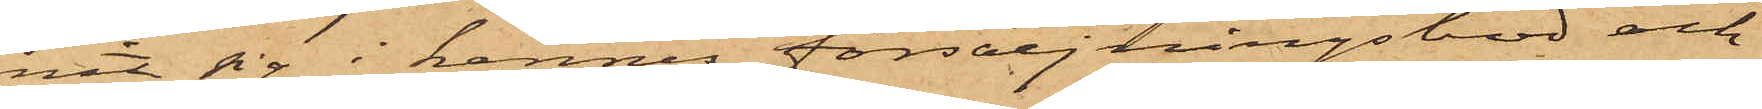nit sig i hennes försäljningsbod och
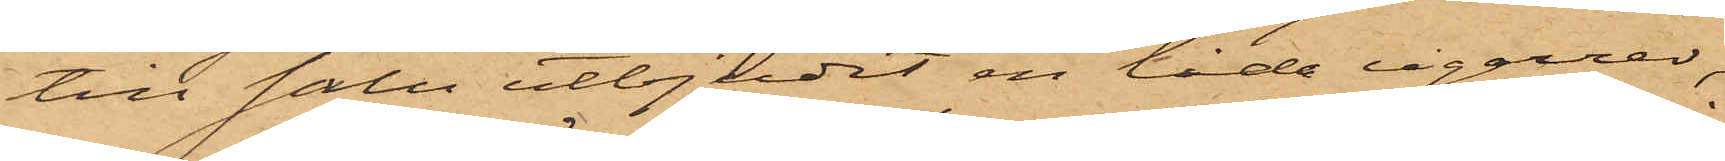till salu utbjudit en låda cigarrer,
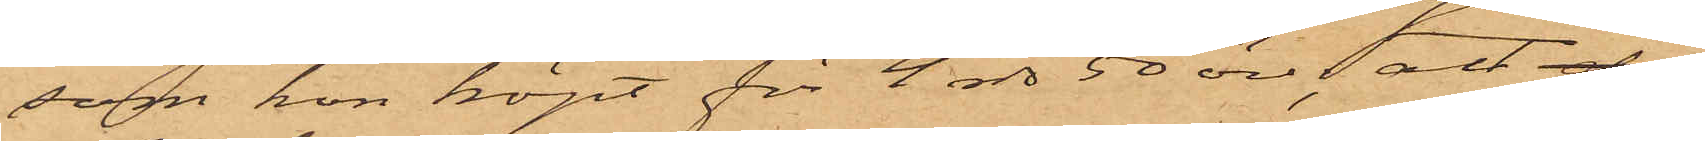som hon köpt för 4 rdr 50 öre; att då
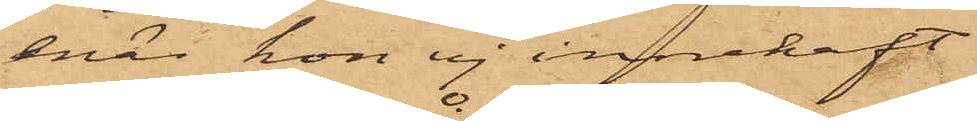enär hon ej innehaft
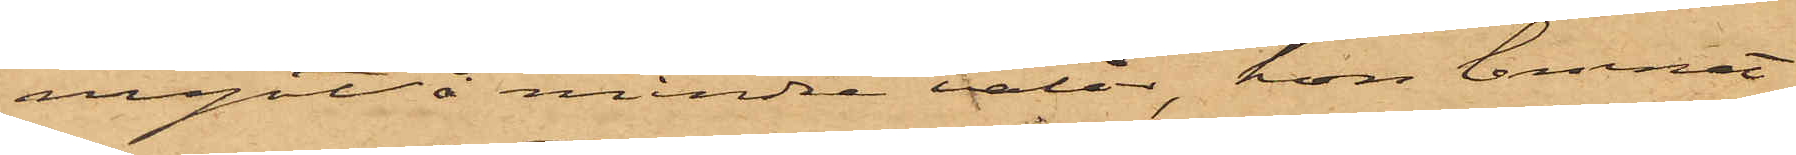 mynt å mindre valör, hon lemnat
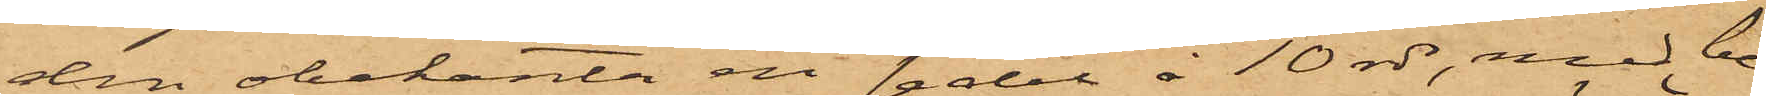den obekante en sedel å 10 rdr, med be¬
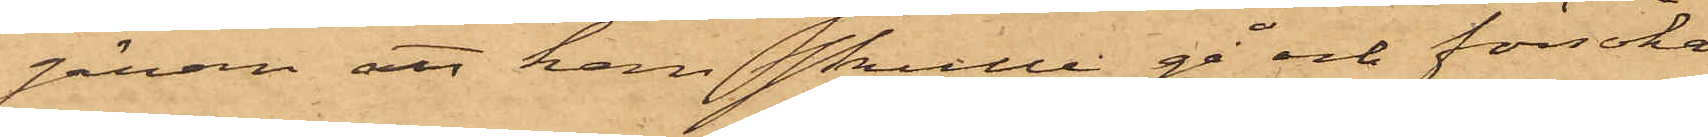gäran att han skulle gå och försöka
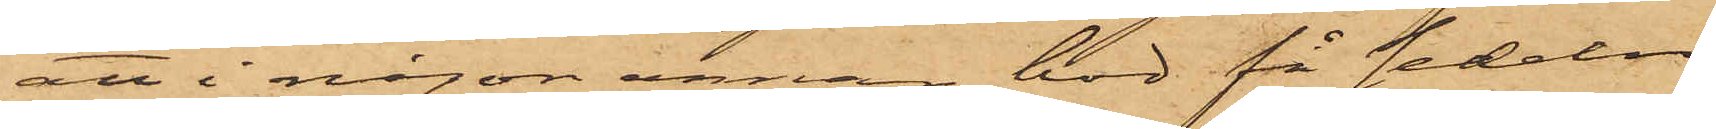att i någon annan bod få sedeln
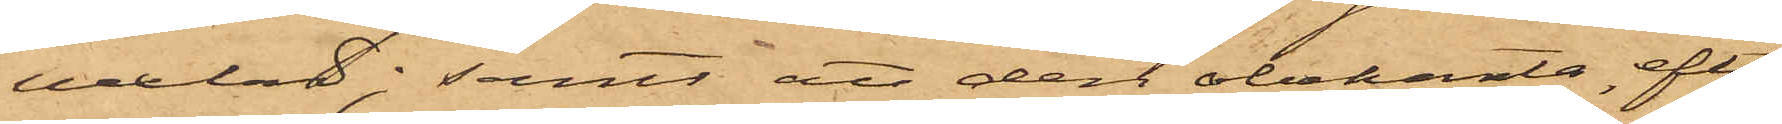vexlad; samt att den obekante efter
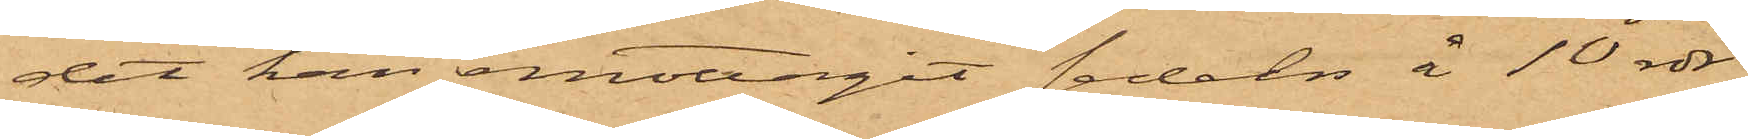det han emottagit sedeln å 10 rdr.
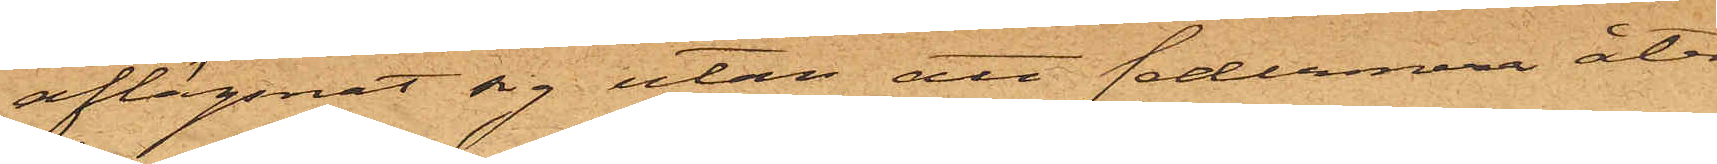aflägsnat sig utan att sedermera åter¬
